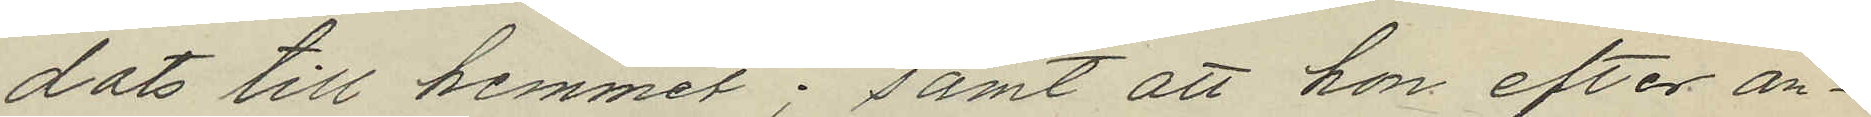dats till hemmet; samt att hon efter an¬
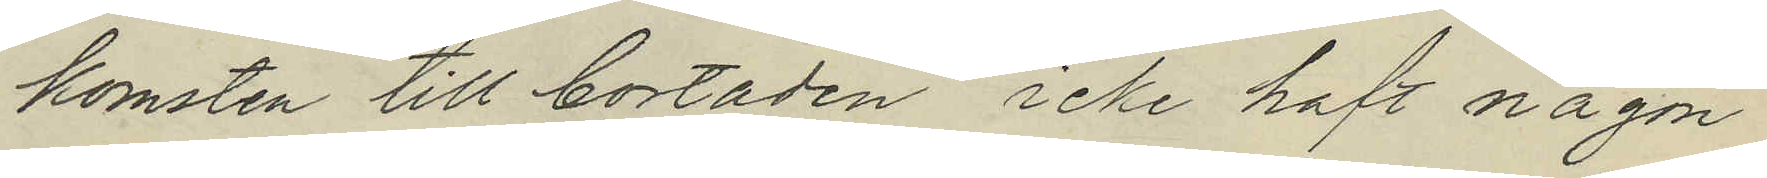komsten till bostaden, icke haft någon
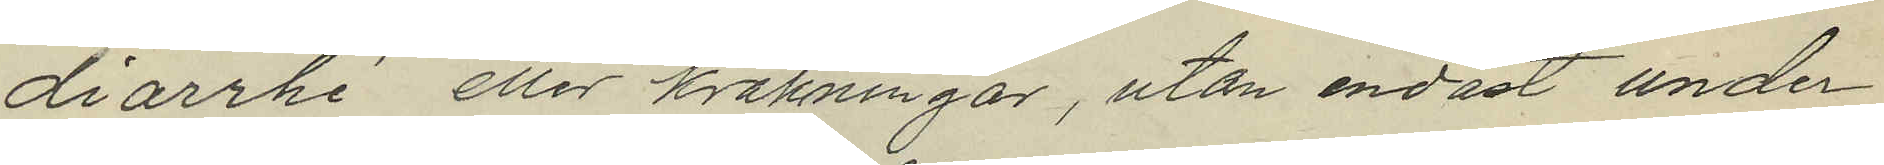diarrhé eller kräkningar, utan endast under
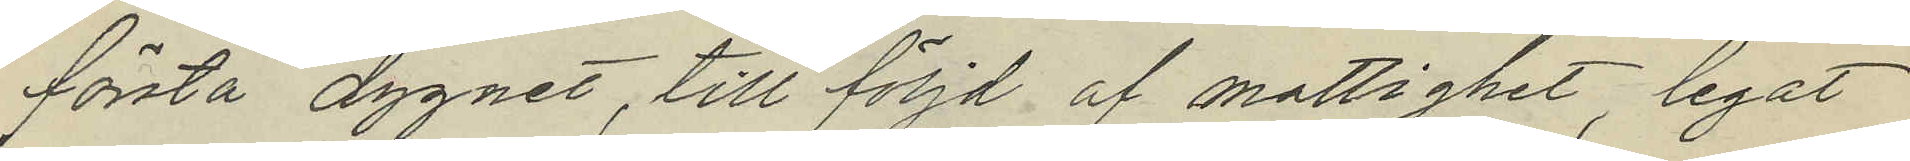första dygnet, till följd af mattighet, legat
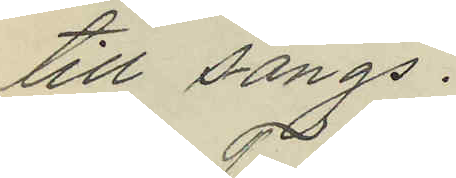till sängs.
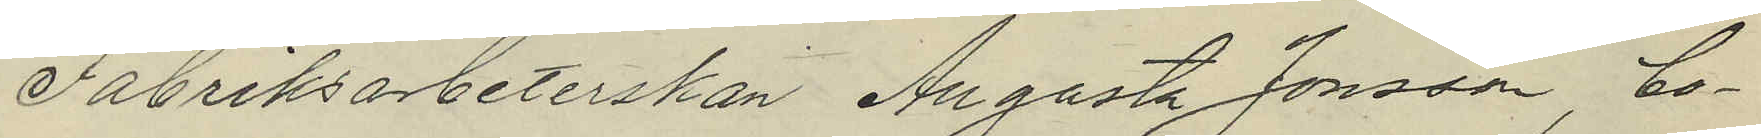Fabriksarbeterskan Augusta Jonsson, bo¬
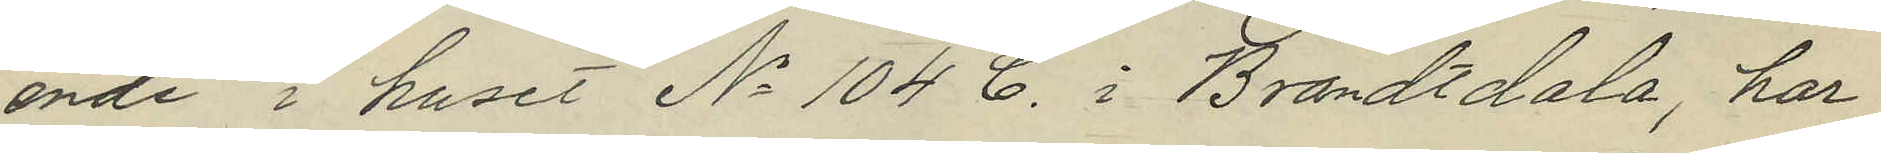ende i huset No 104 C. i Brandtdala, har
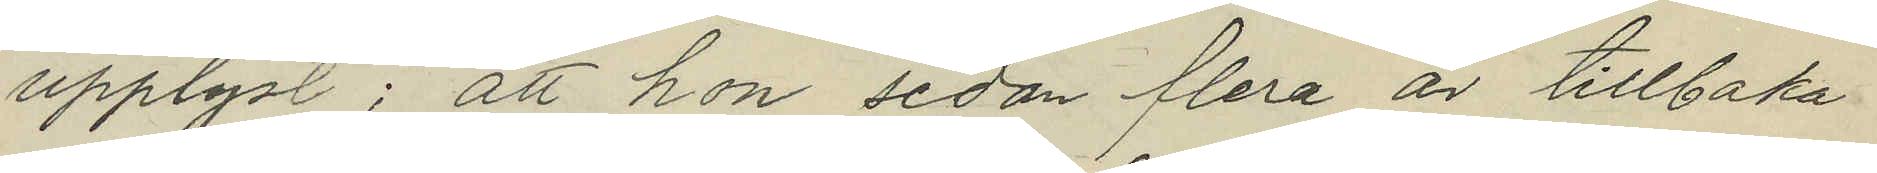upplyst; att hon sedan flera år tillbaka
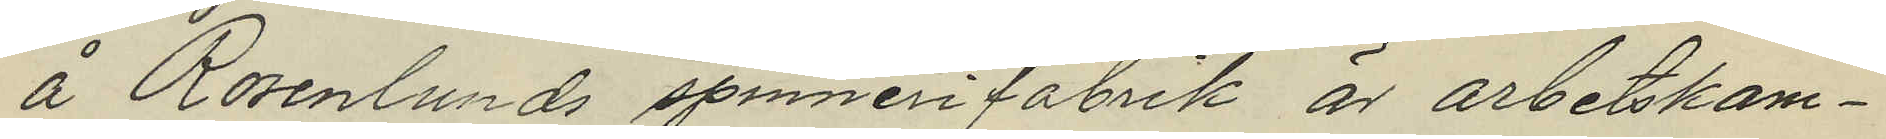å Rosenlunds spinnerifabrik är arbetskam¬
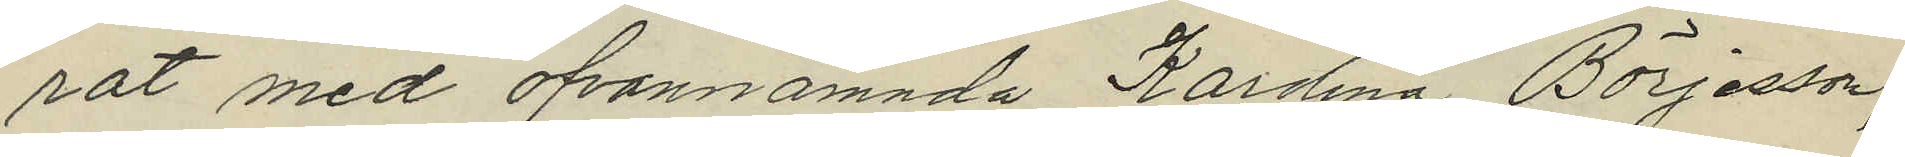rat med ofvannämnda Karolina Börjesson;
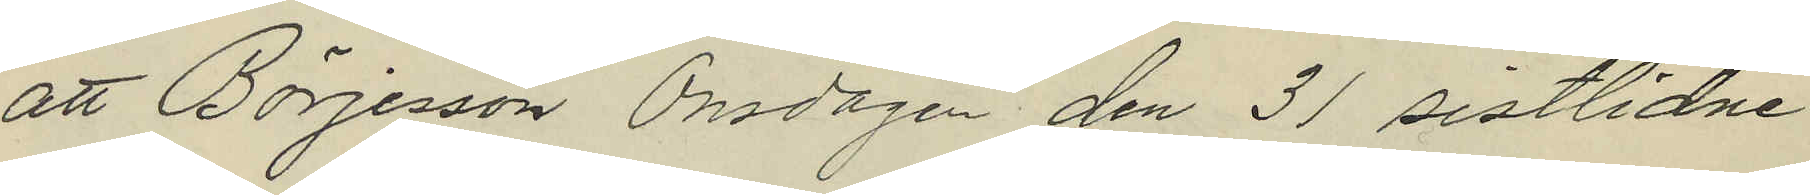att Börjesson Onsdagen den 31 sistlidne
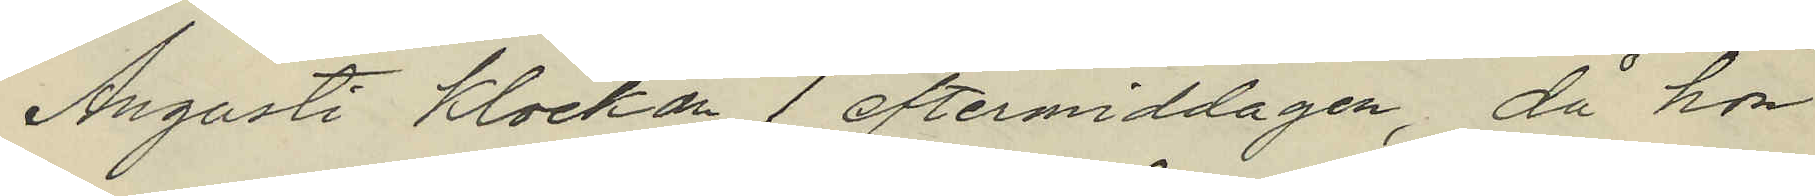Augusti Klockan 1 eftermiddagen, då hon
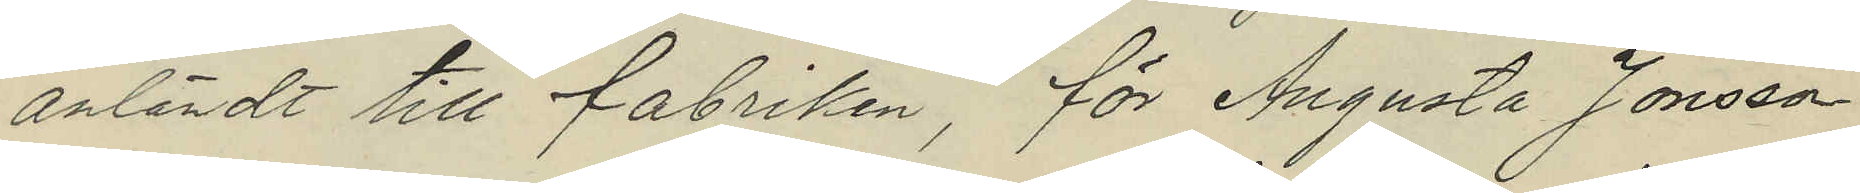anländt till fabriken, för Augusta Jonsson
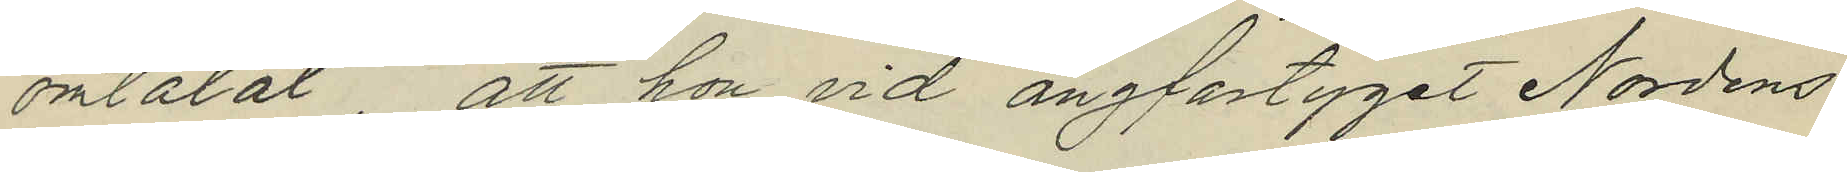omtalat att hon vid ångfartyget Nordens
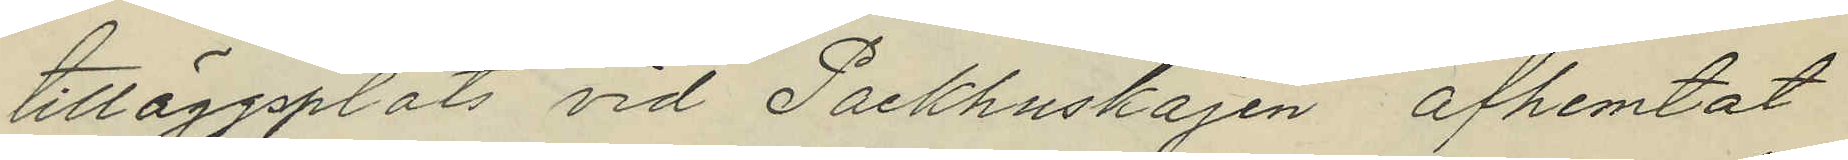tilläggsplats vid Packhuskajen afhemtat
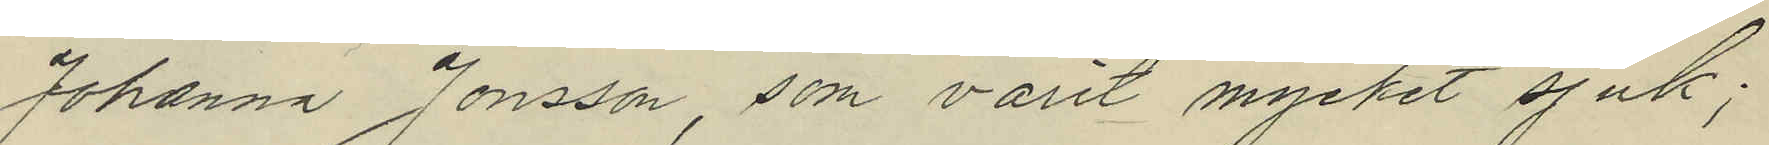Johanna Jonsson, som varit mycket sjuk;
